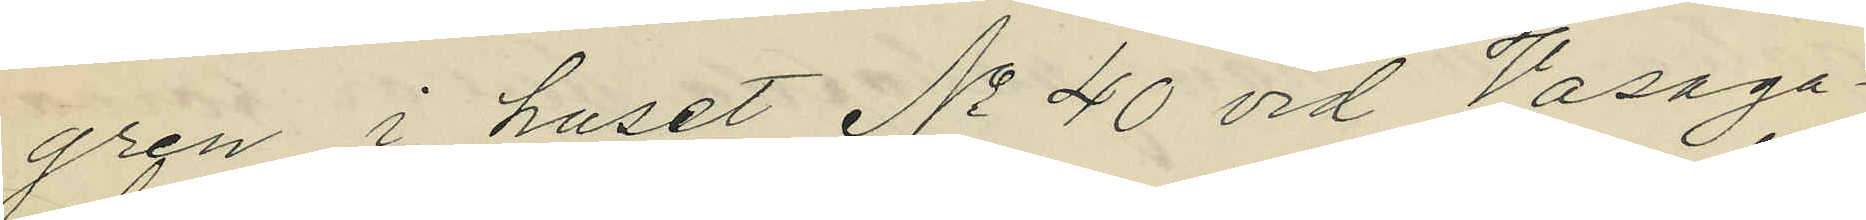gren i huset No 40 vid Vasaga¬
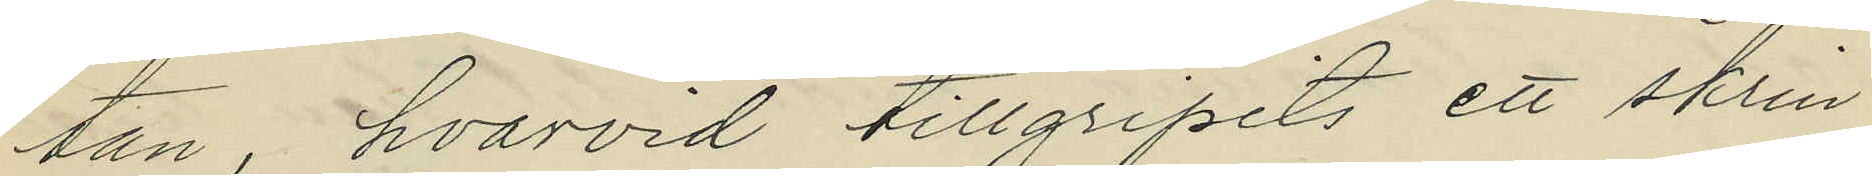tan, hvarvid tillgripits ett skrin
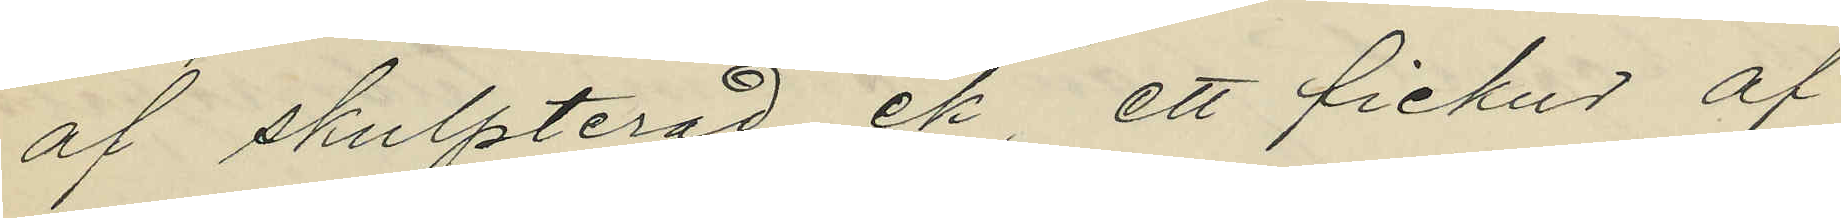af skulpterad ek, ett fickur af
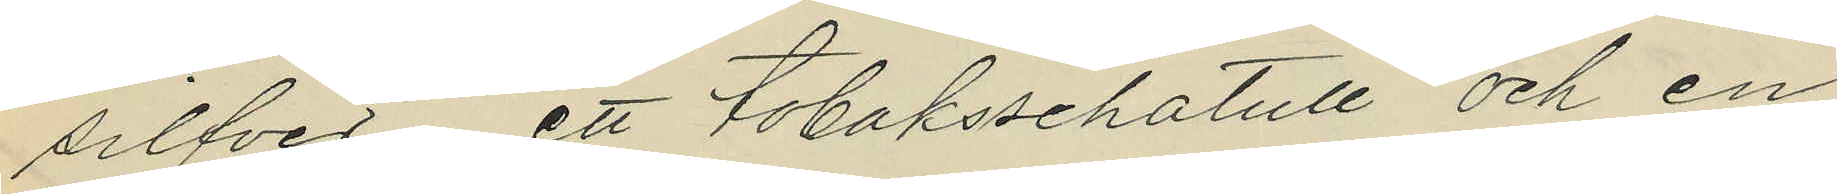silfver, ett tobaksschatull och en
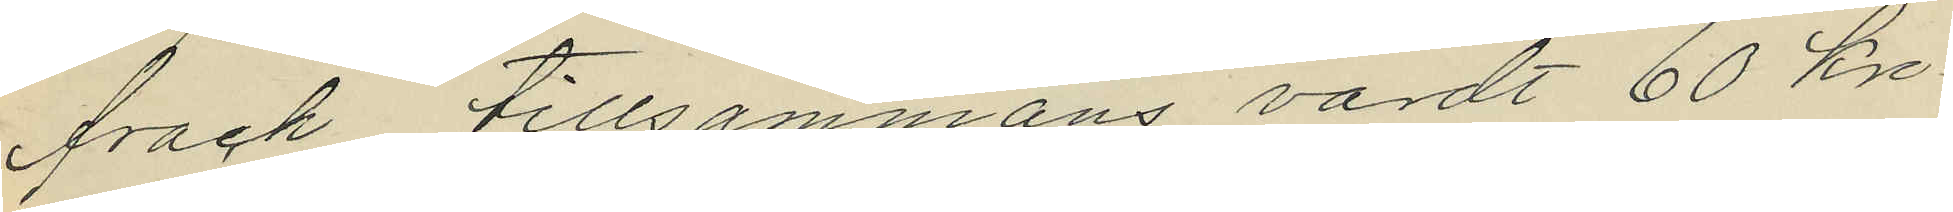frack, tillsammans värdt 60 kro¬
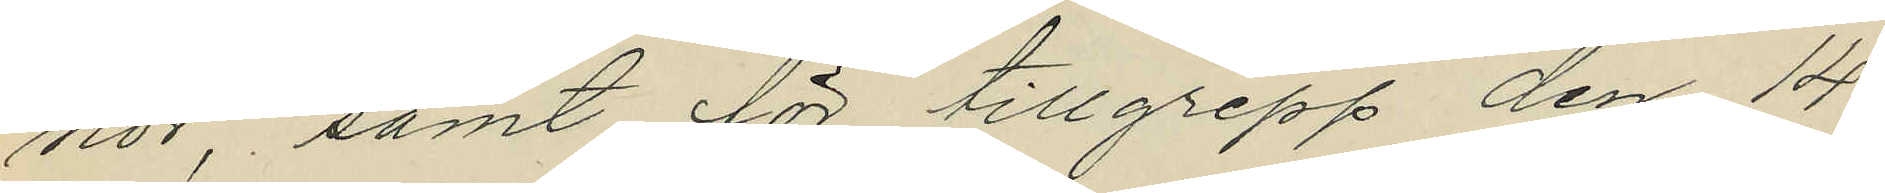nor samt för tillgrepp den 14
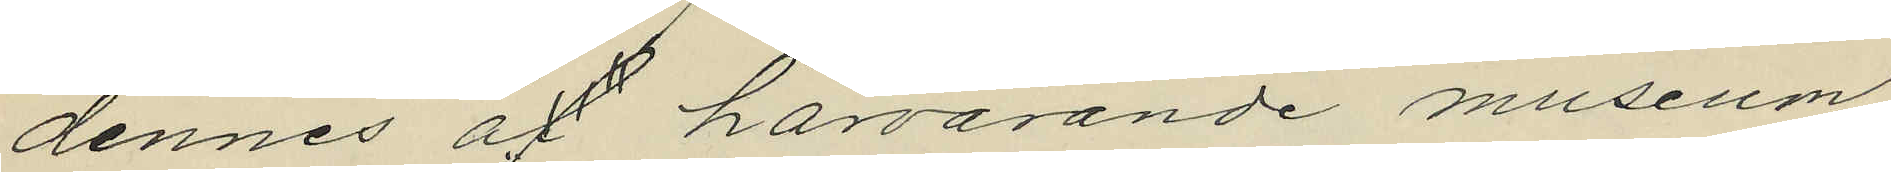dennes åf härvarande museum
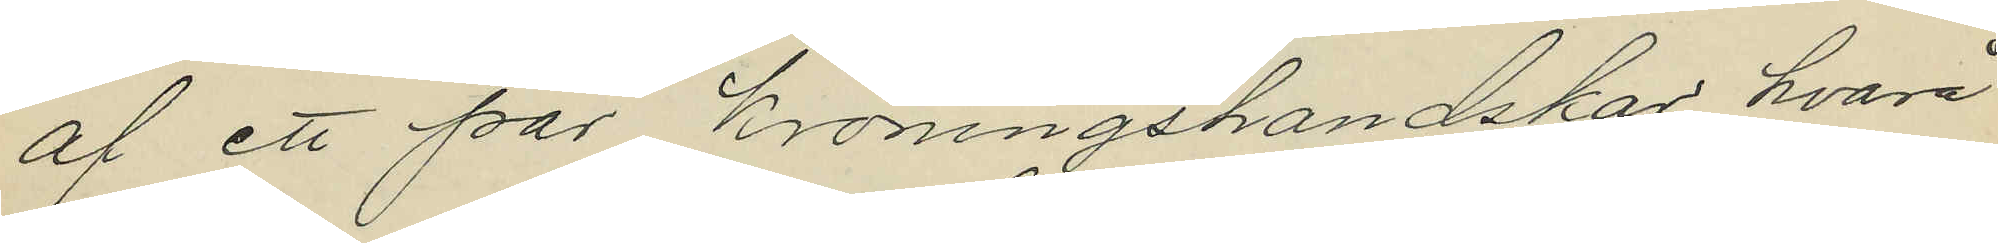af ett par kröningshandskar, hvarå
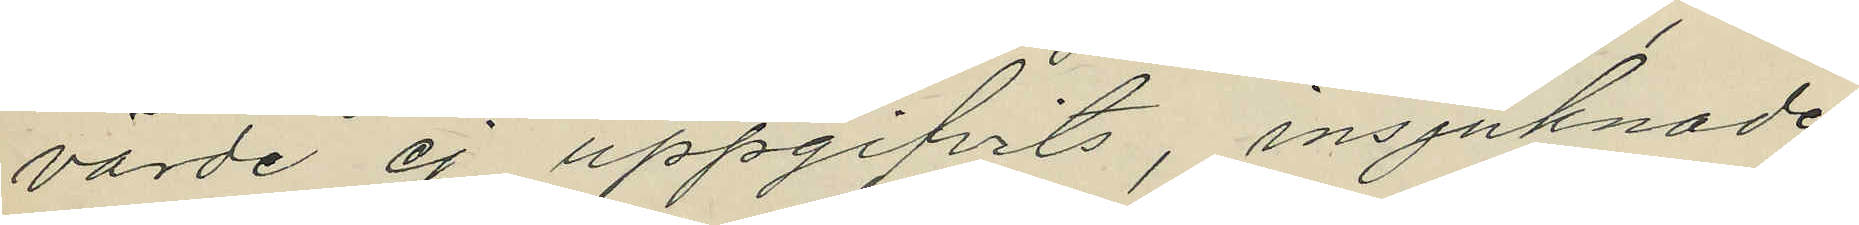värde ej uppgifvits, insjuknade
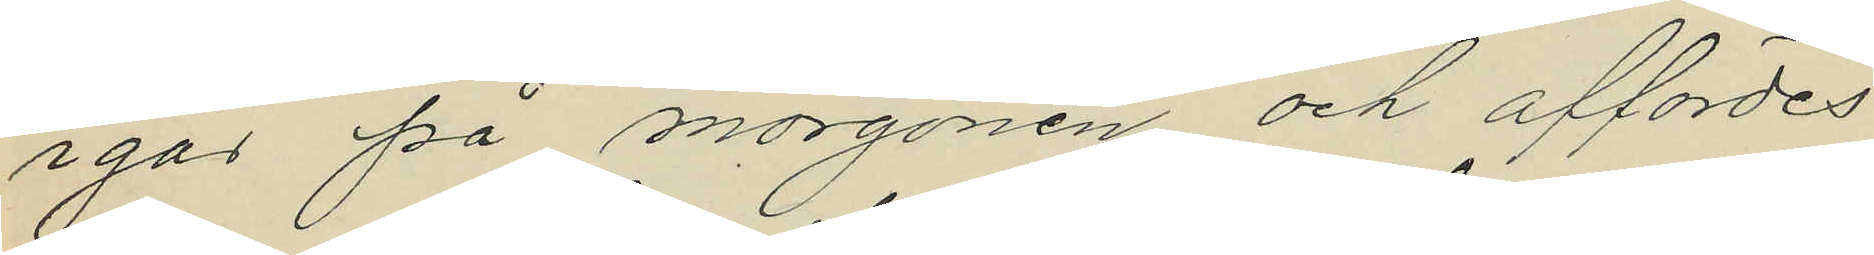igår på morgonen och affördes
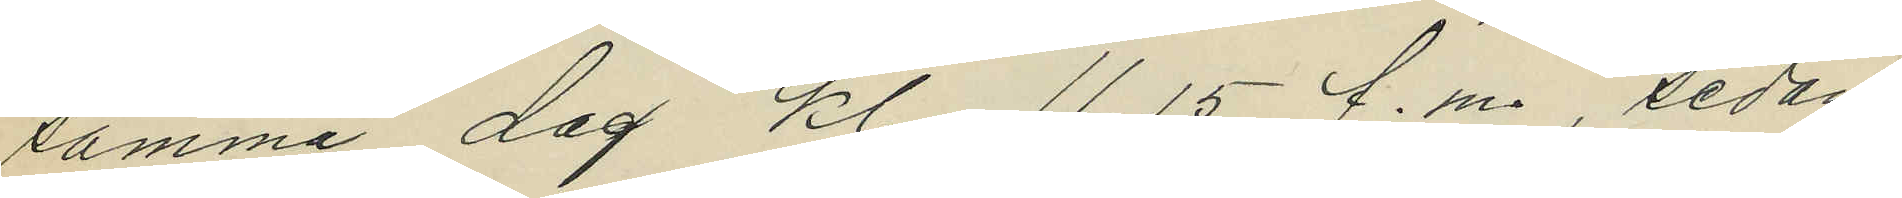samma dag kl. 11.15 f.m., sedan
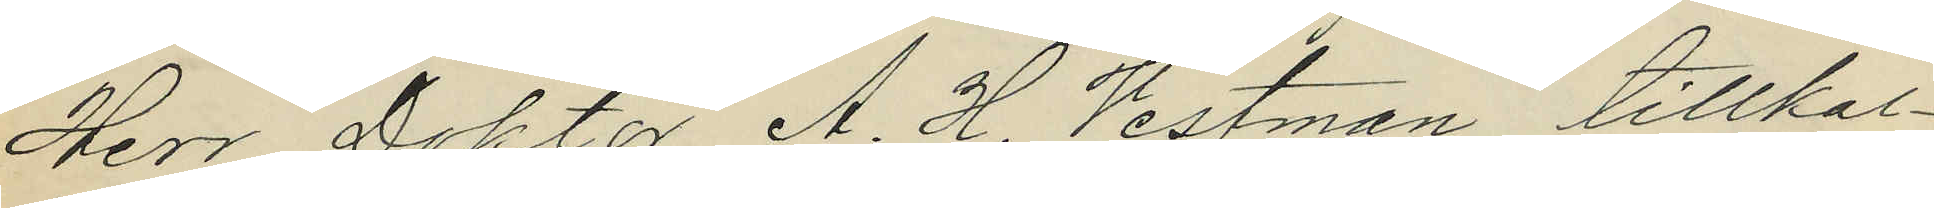Herr Doktor A. H. Vestman tillkal¬
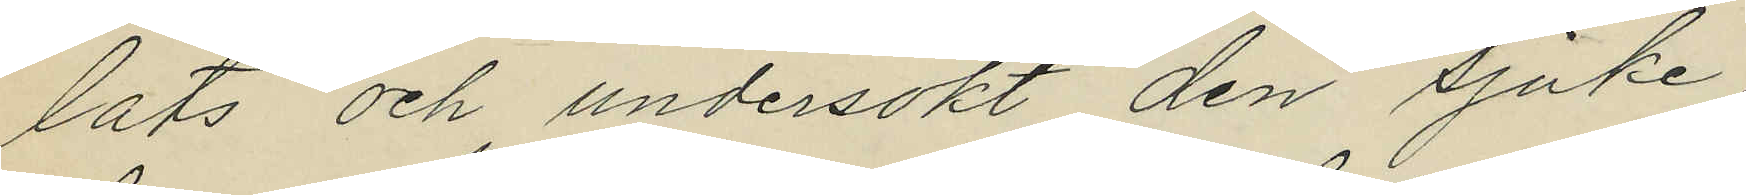lats och undersökt den sjuke,
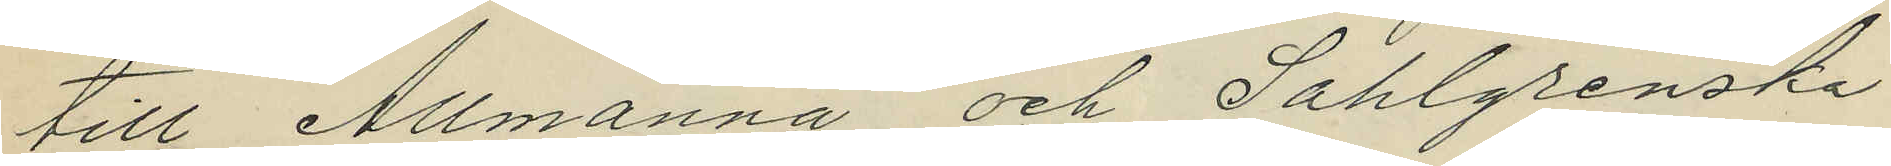till Allmänna och Sahlgrenska
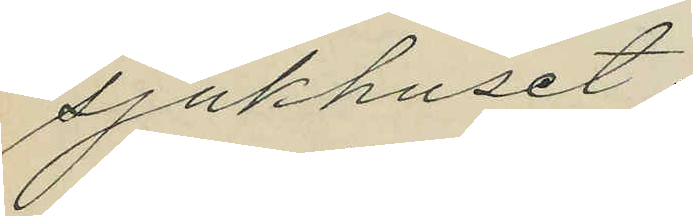sjukhuset.
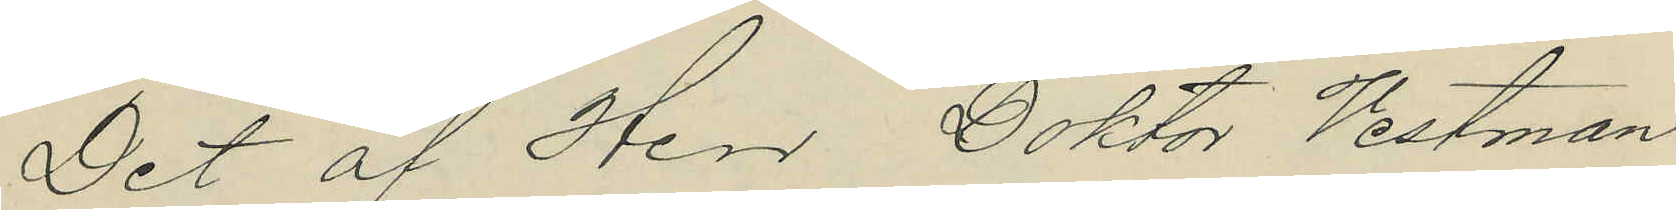Det af Herr Doktor Vestman
